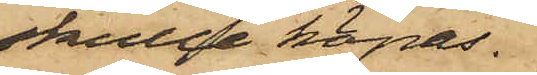skulle köpas.
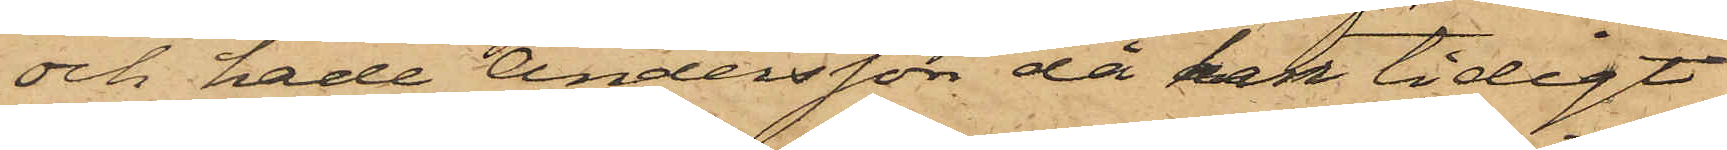och hade Andersson då han tidigt
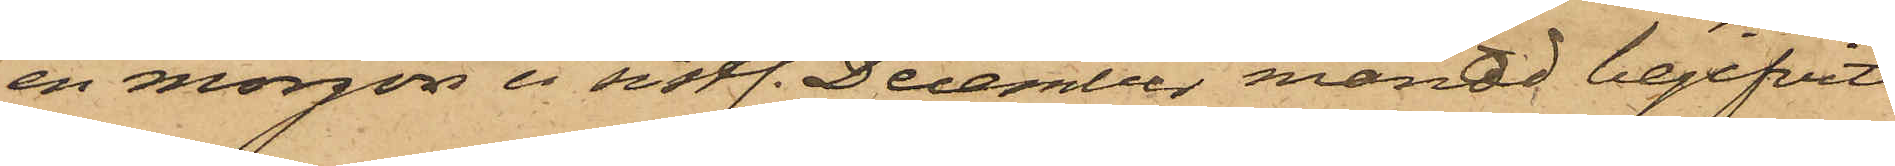en morgon i sistl. December månad begifvit
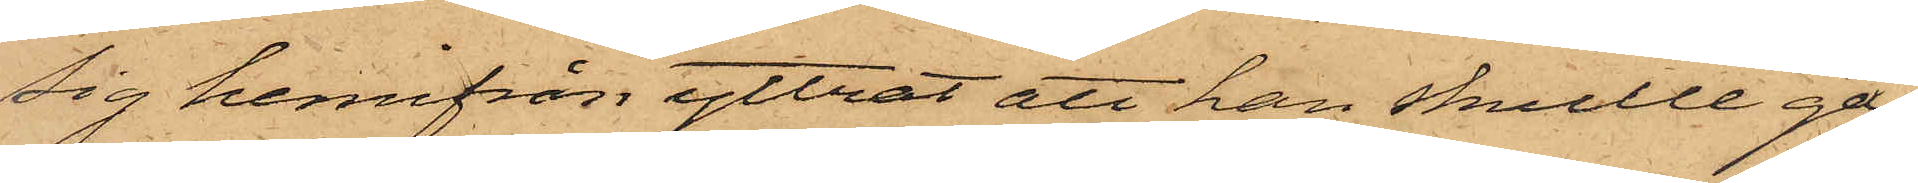sig hemifrån yttrat att han skulle gå
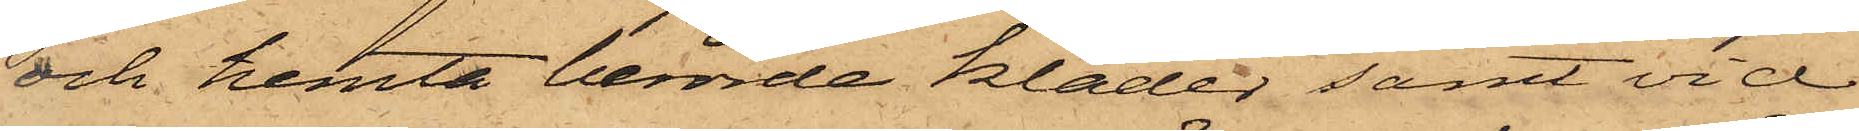och hemta berörde kläder samt vid
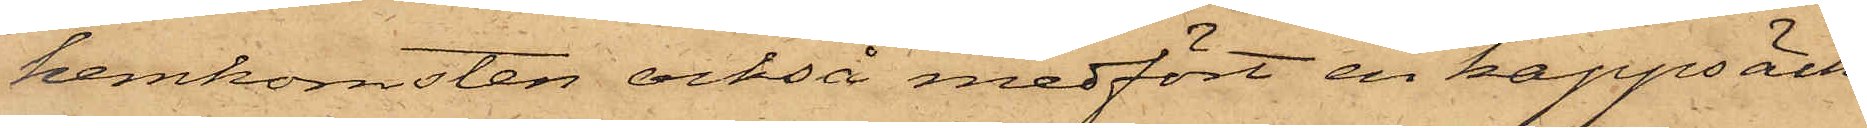hemkomsten också medfört en kappsäck
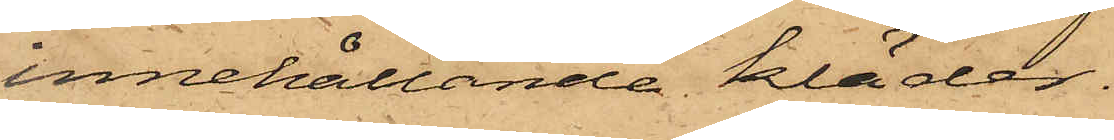innehållande kläder.
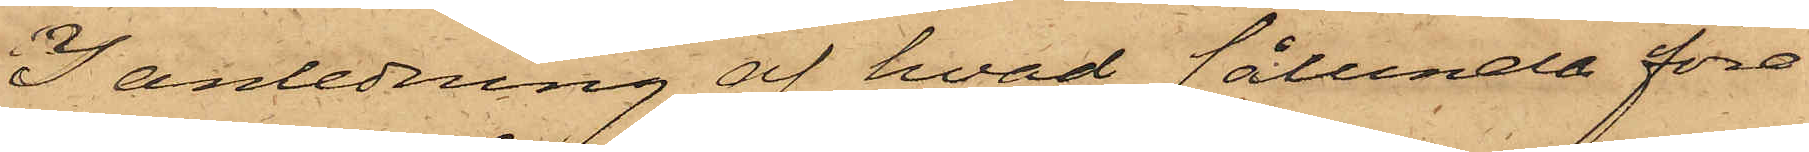I anledning af hvad sålunda före¬
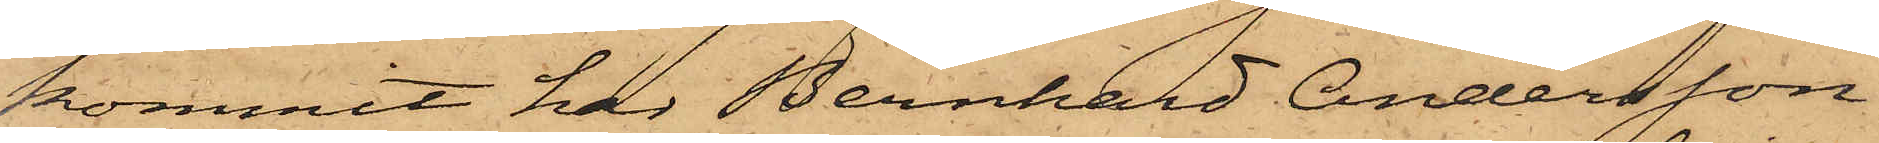kommit har Bernhard Andersson,
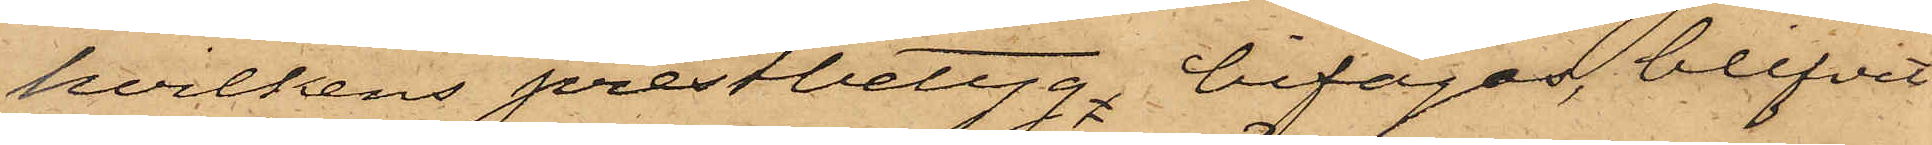hvilkens prestbetyg bifogas, blifvit
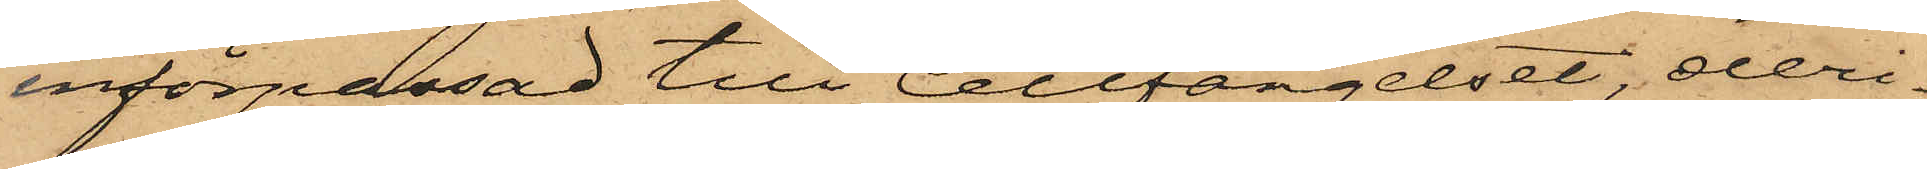införpassad till Cellfängelset, deri¬
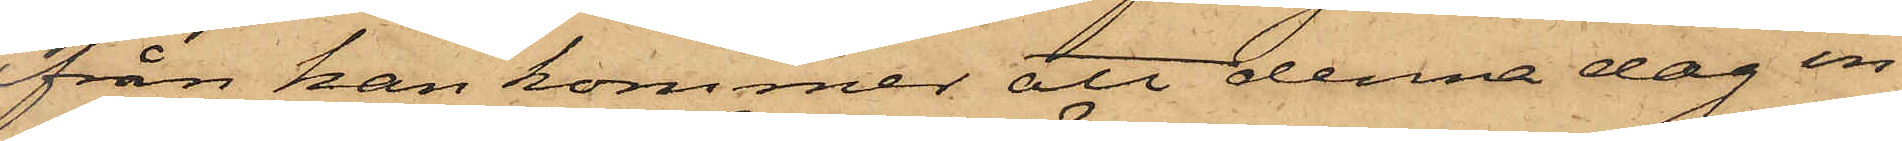från han kommer att denna dag en
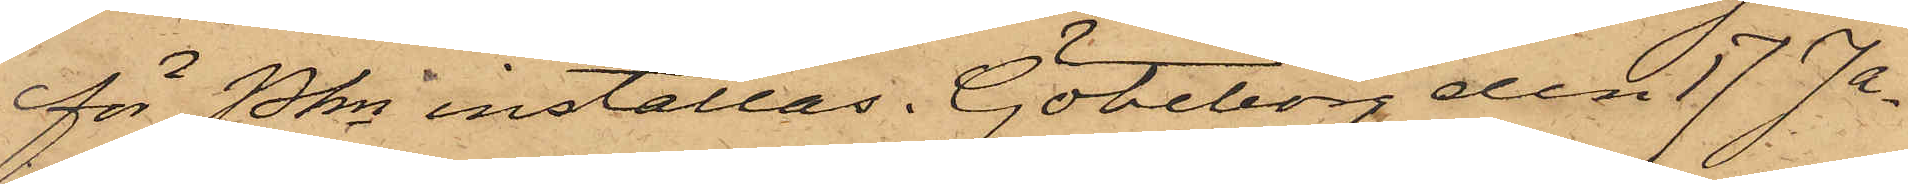för Pkn inställas. Göteborg den 17 Ja¬
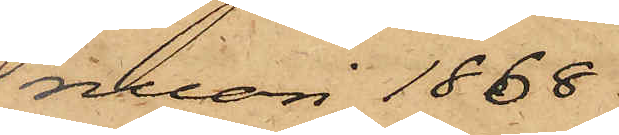nuari 1868.
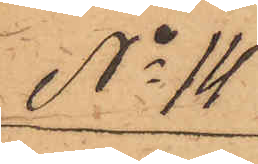No 14
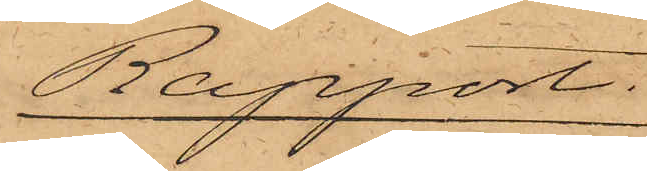Rapport.
